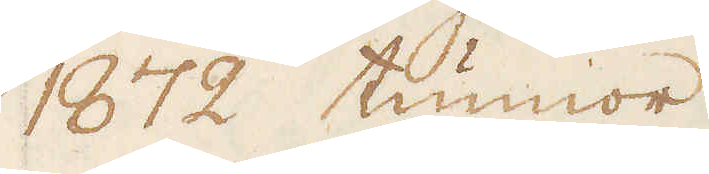1872 tunnor.
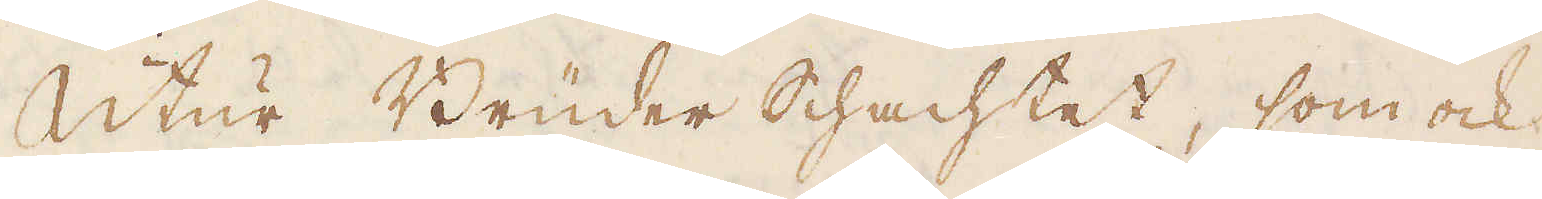Utur Brüder schachtet, som ock
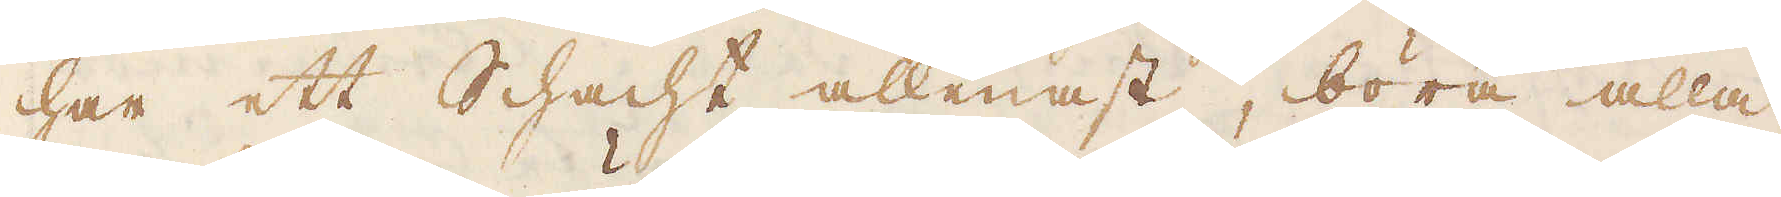har ett schacht allenast, böra alla
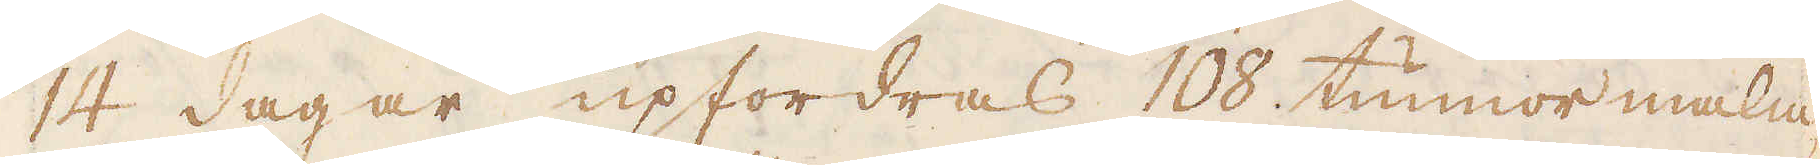14 dagar upfordras 108 tunnor malm
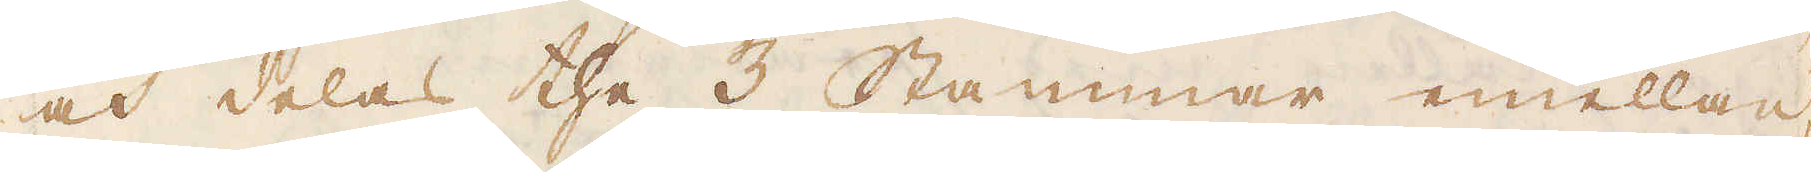och delas the 3 Stammar emellan,
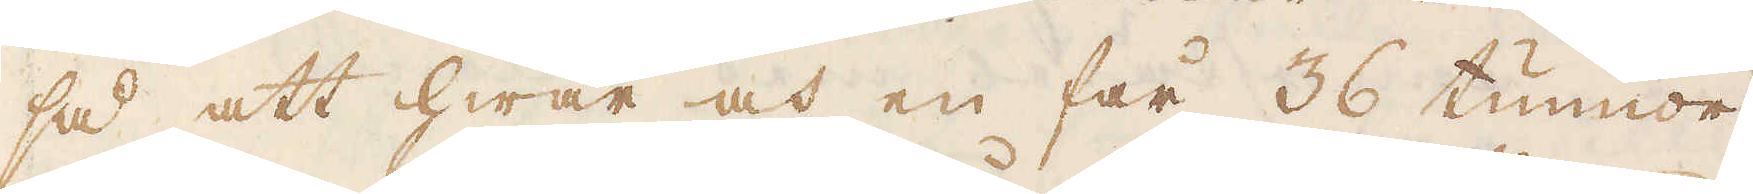så att hwar och en får 36 tunnor
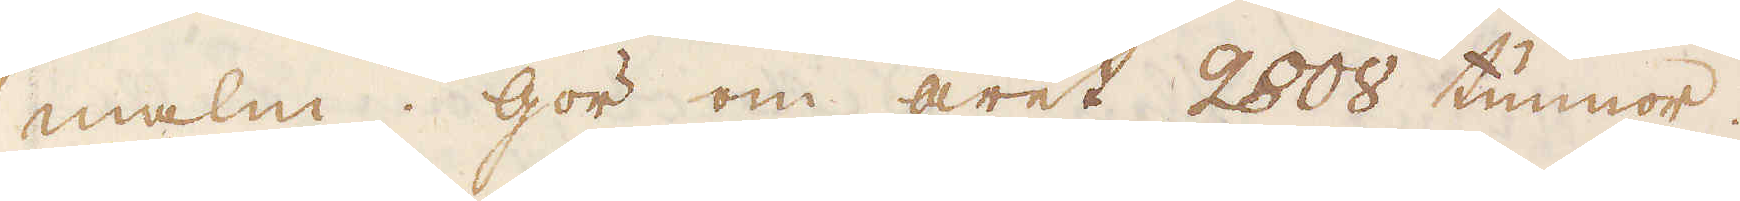malm. Gör om året 2808 tunnor.
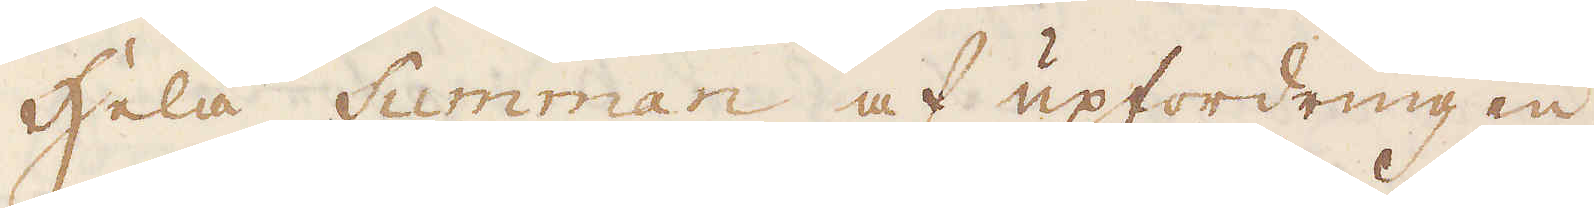Hela Summan af upfordringen
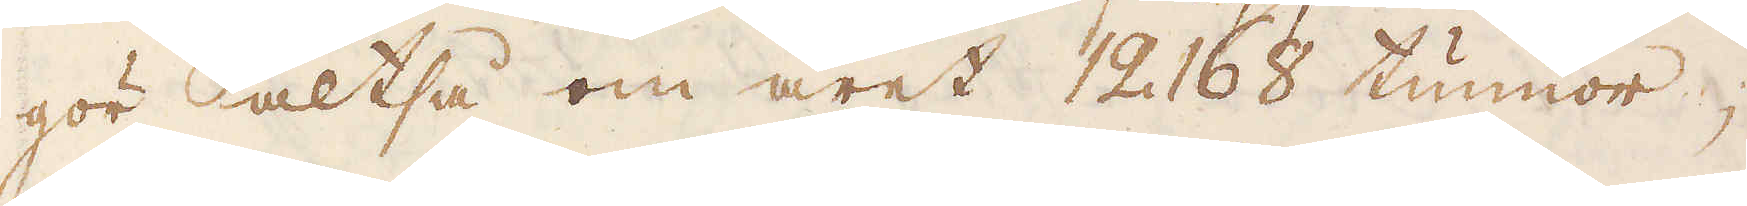gör altså om året 12168 tunnor;
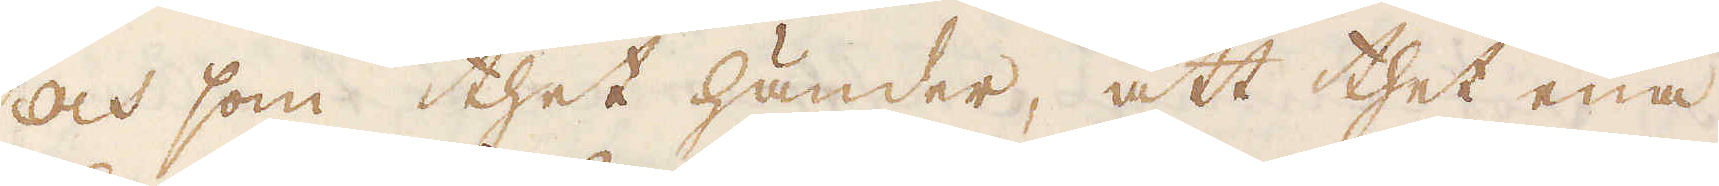Och som thet händer, att thet ena
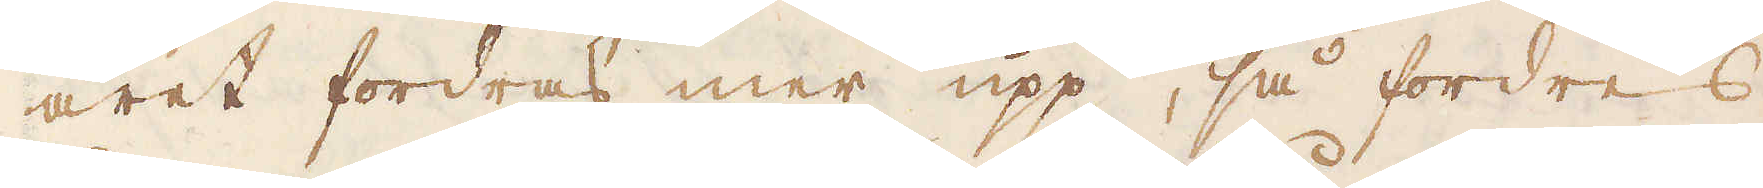året fordras mer upp, så fordres
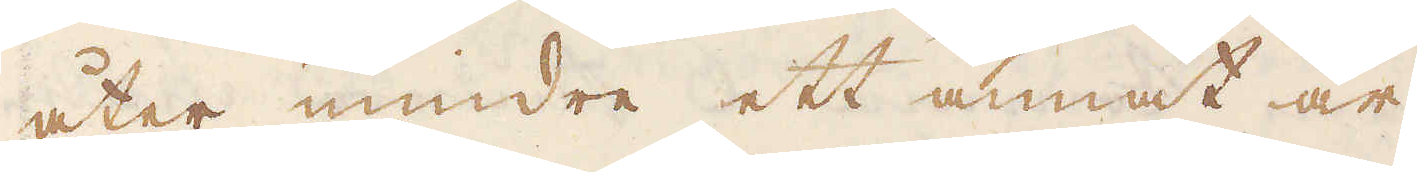åter mindre ett annat år,
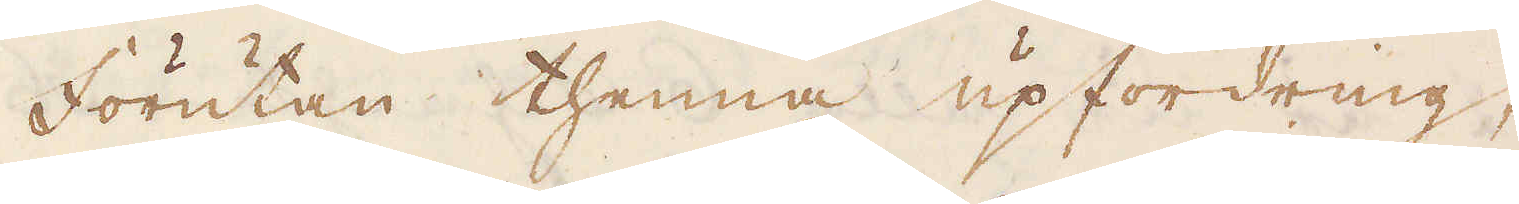Förutan thenna upfordring,
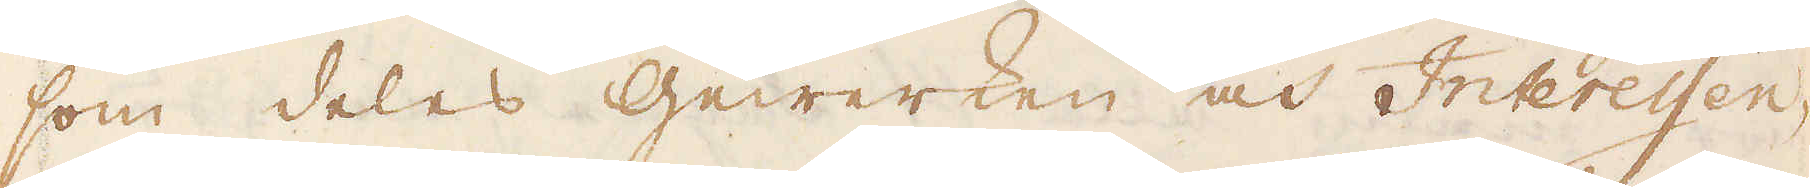som deles Gewerken och Interessen-
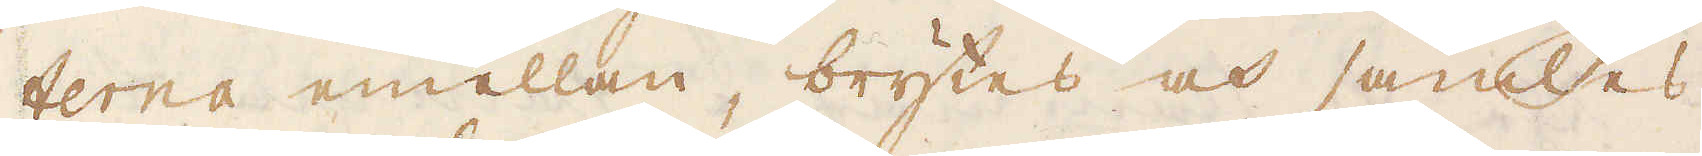terna emellan, brytes och samles
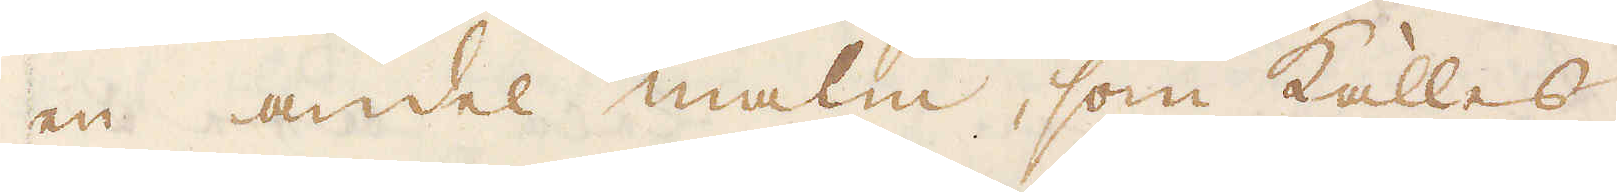en andel malm, som kallas
